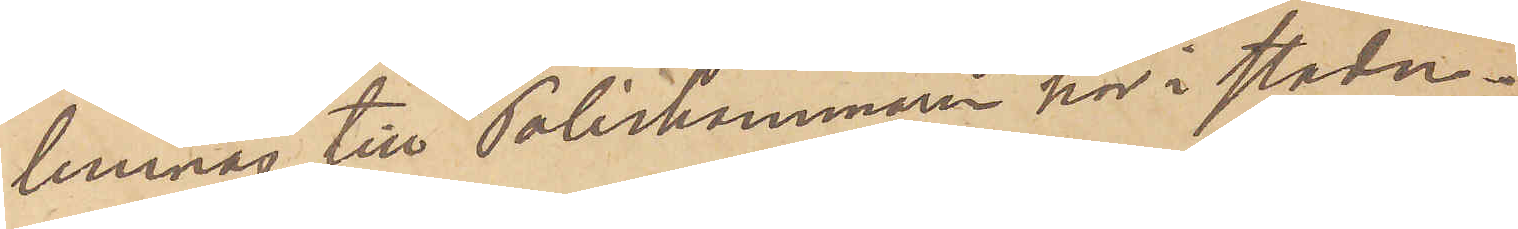lemnas till Poliskammaren här i staden.
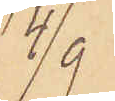4/9
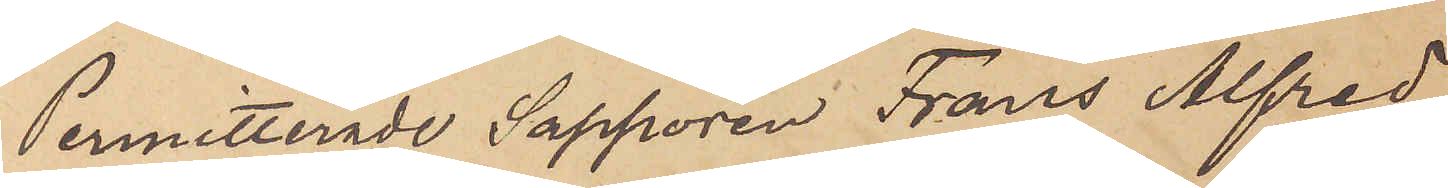Permitterade Sappören Frans Alfred
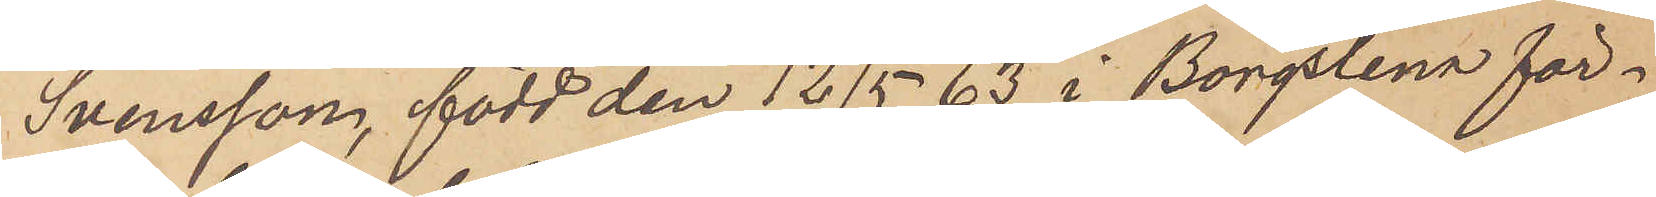Svensson, född den 1215 63 i Borgstena för¬
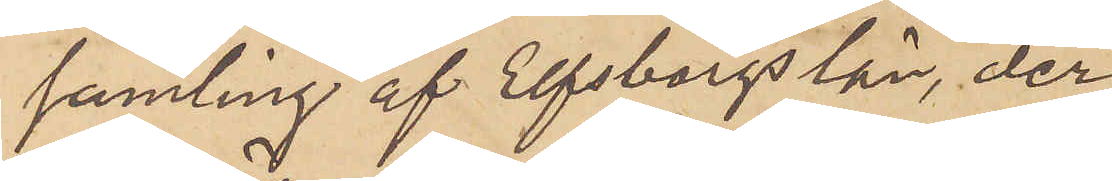samling af Elfsborgs län, der
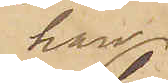han
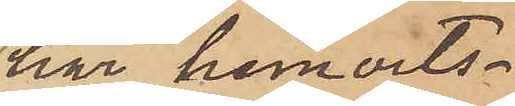har hemorts¬
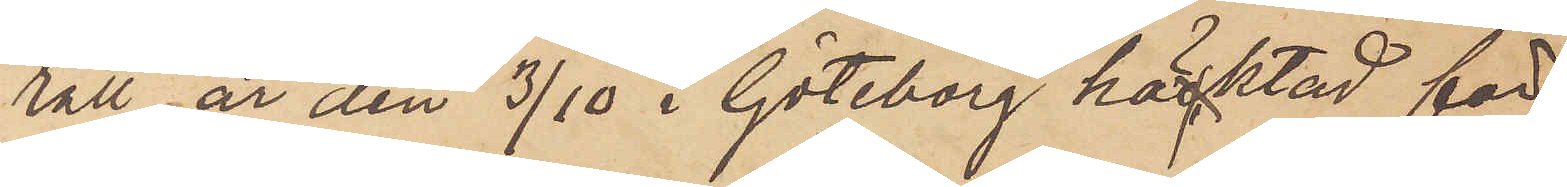rätt, är den 3/10 i Göteborg häktad för
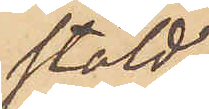stöld;
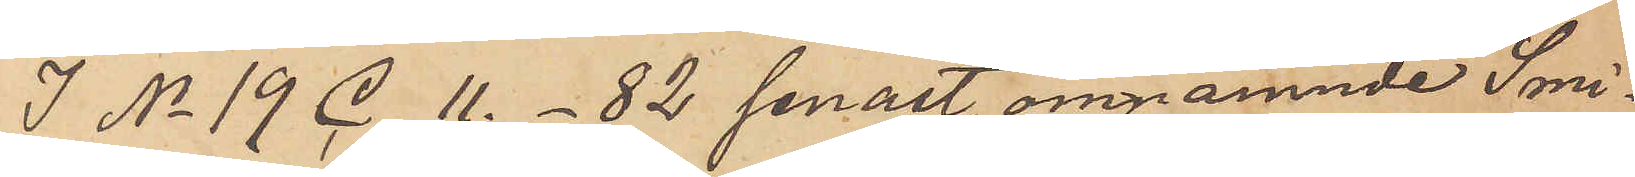I No 19 C. 11. - 82 senast omnämnde Smi¬
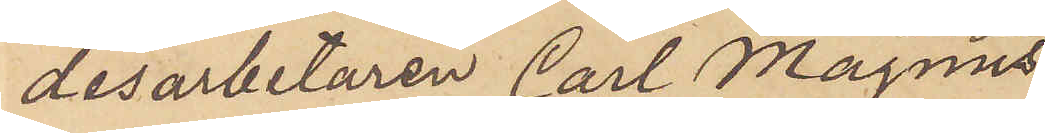desarbetaren Carl Magnus
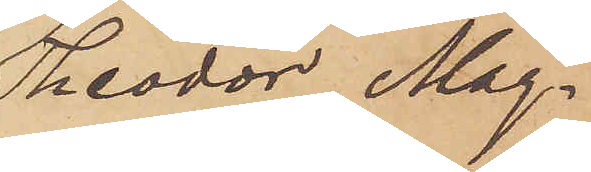Theodor Mag¬
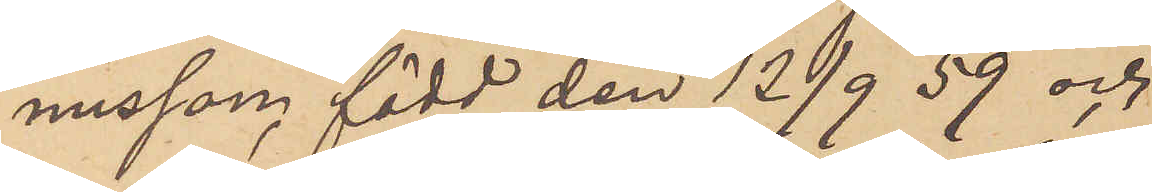nusson, född den 12/9 59 och
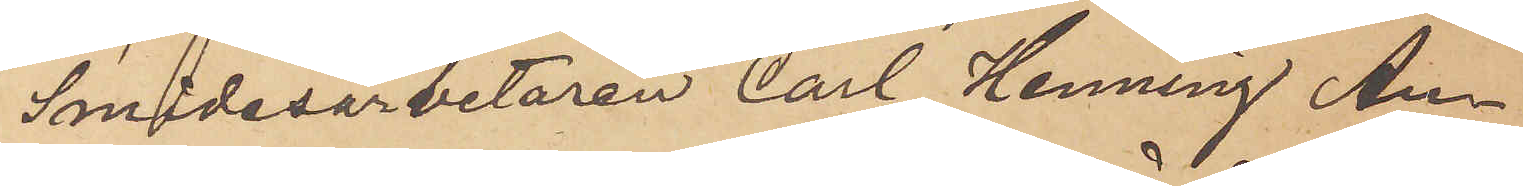Smidesarbetaren Carl Henning An¬
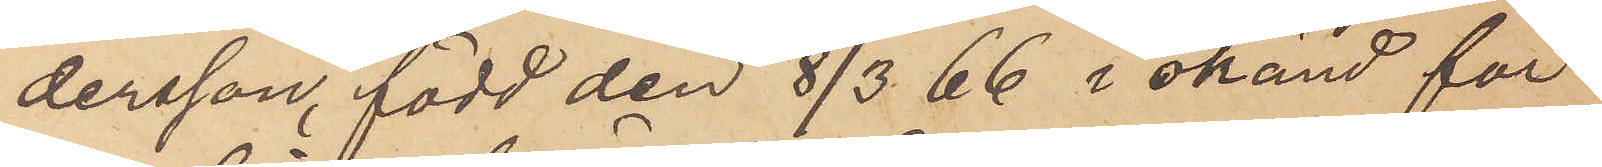dersson, född den 8/3 66 i okänd för¬
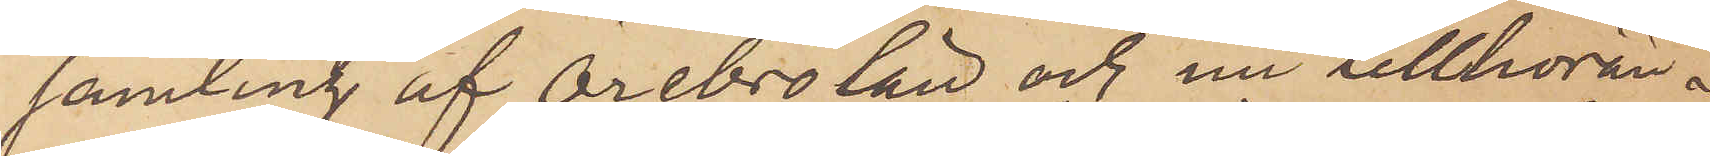samling af Örebro län och nu tillhöran¬
